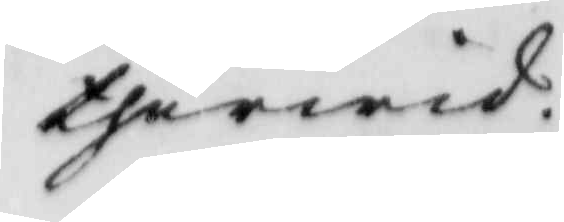therwid
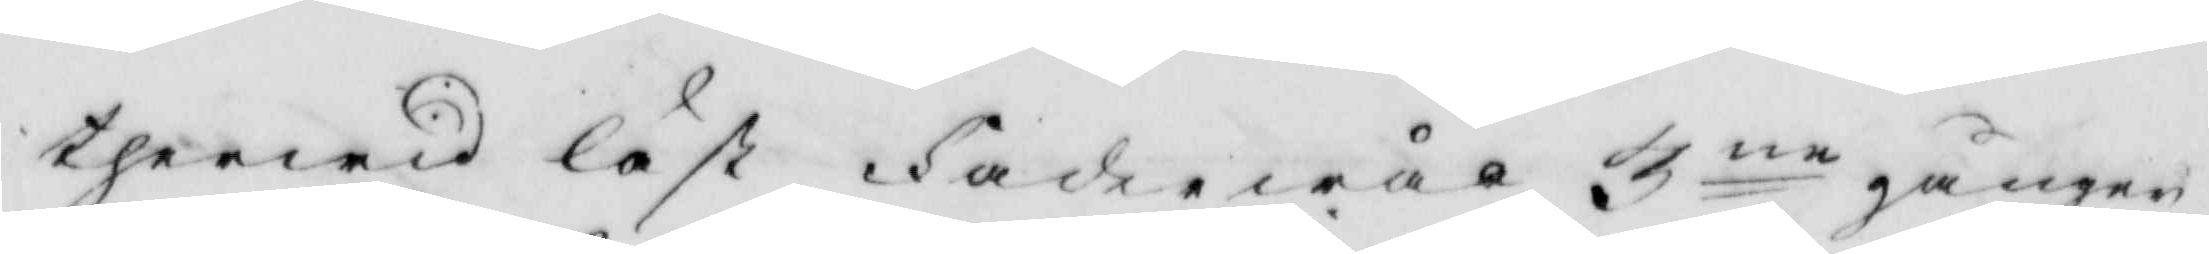therwid läst Fader wår 3ne gånger
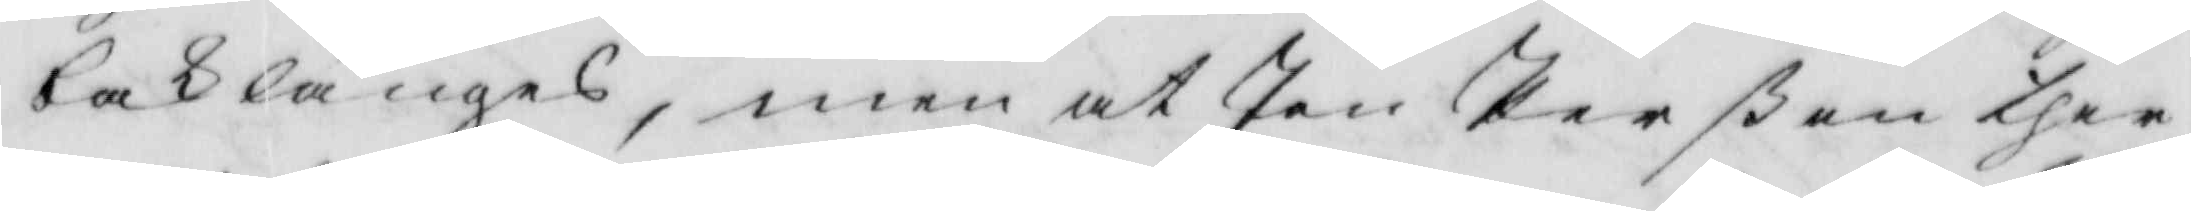baklänges, men at Jon Perßon ther
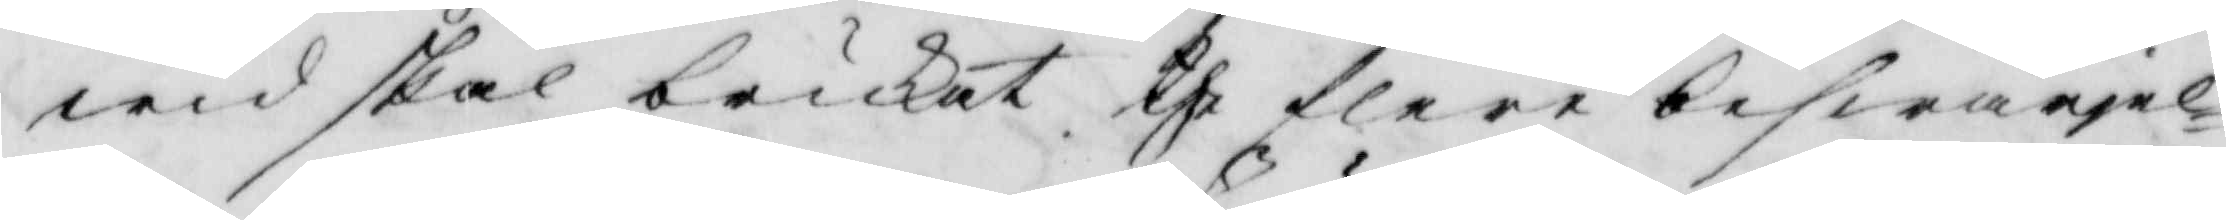wid skal brukat the flere beswärjel¬
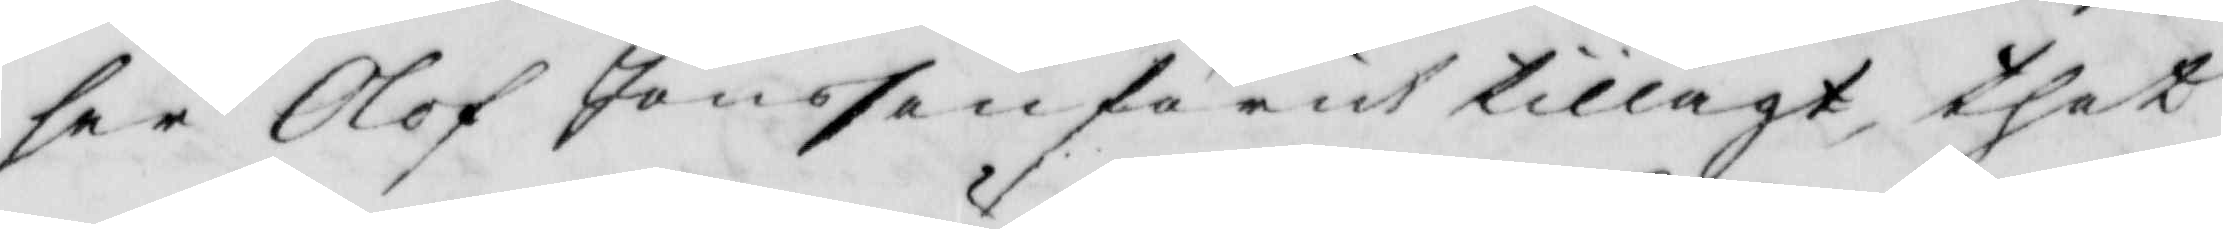ser Olof Jönsson förut tillagt, thet
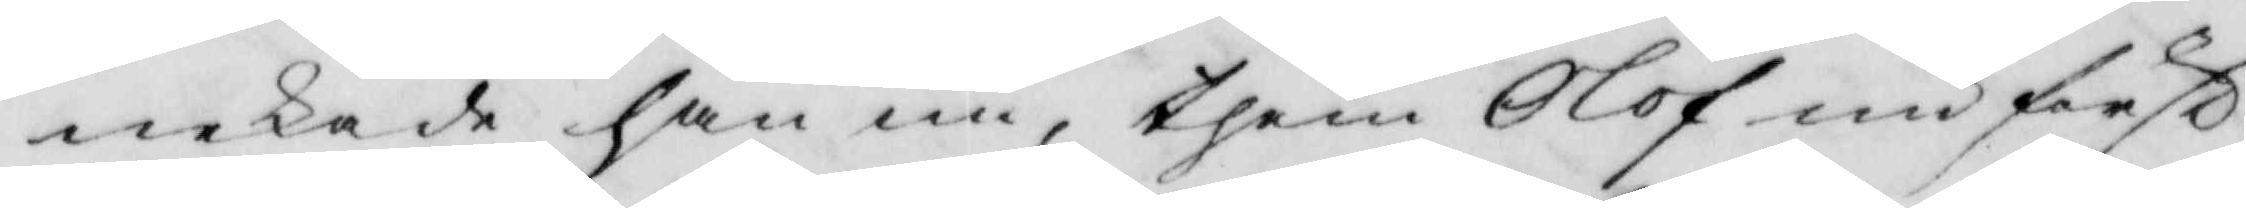nekade han nu, hem Olof nu först
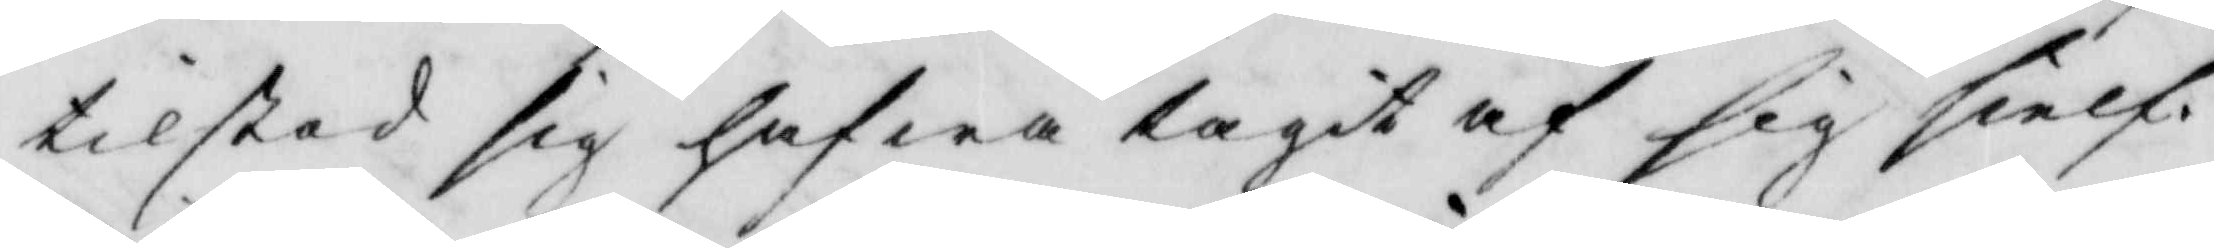tilstod sig hafwa tagit af sig sielf.
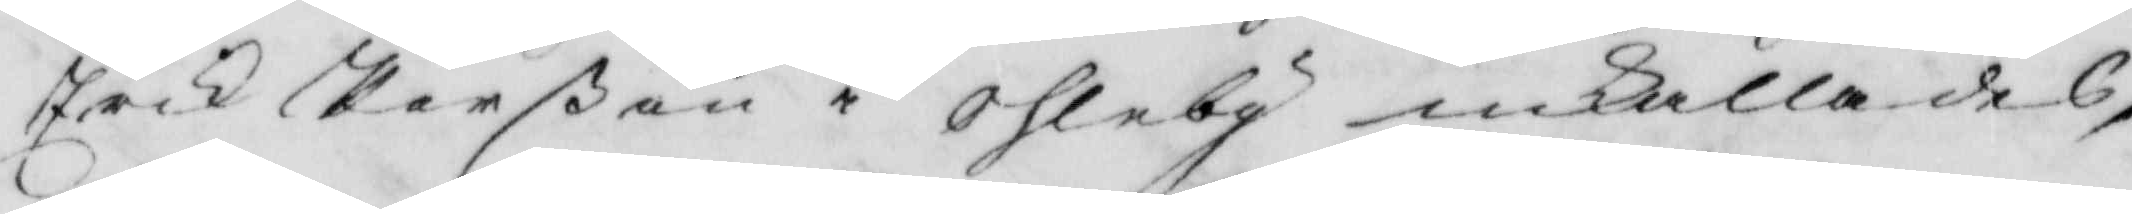Erick Perßon o Ohleby inkallades,
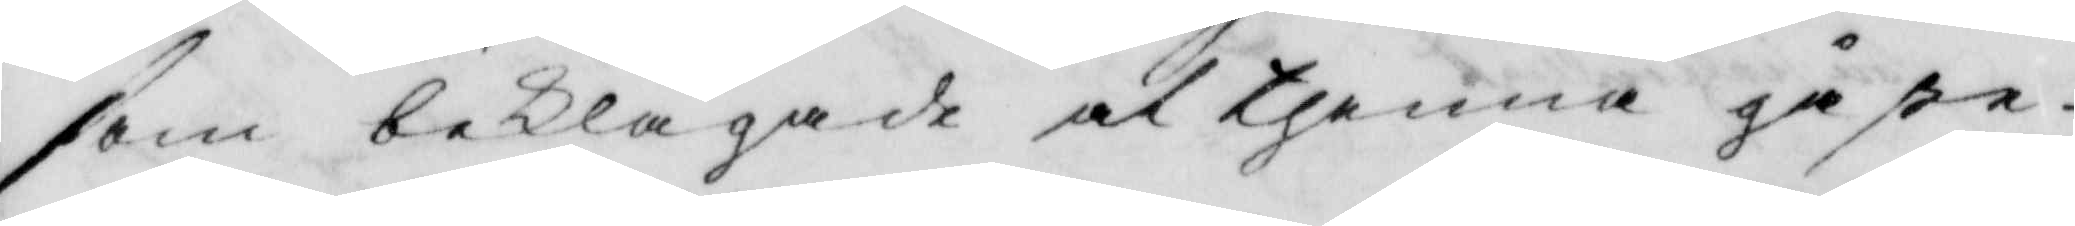som beklagade at thenna gåße
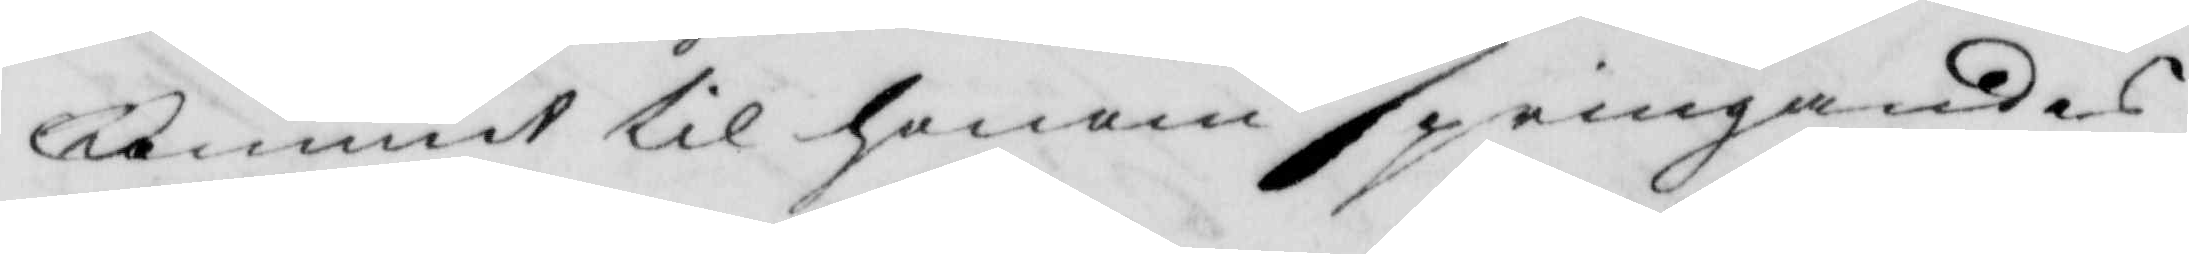kommit til honom springandes
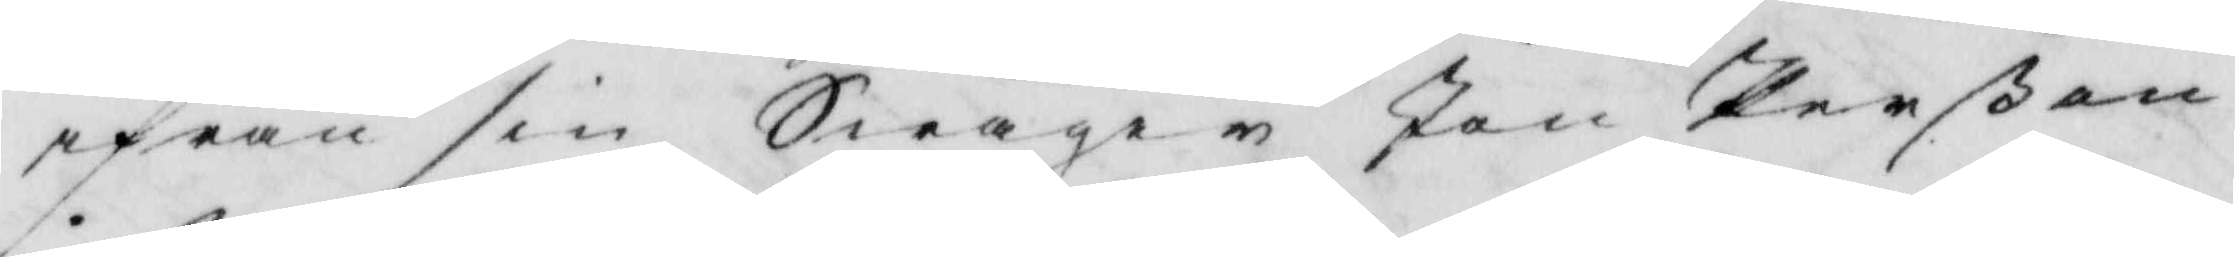ifrån sin Swåger Jon Perßon
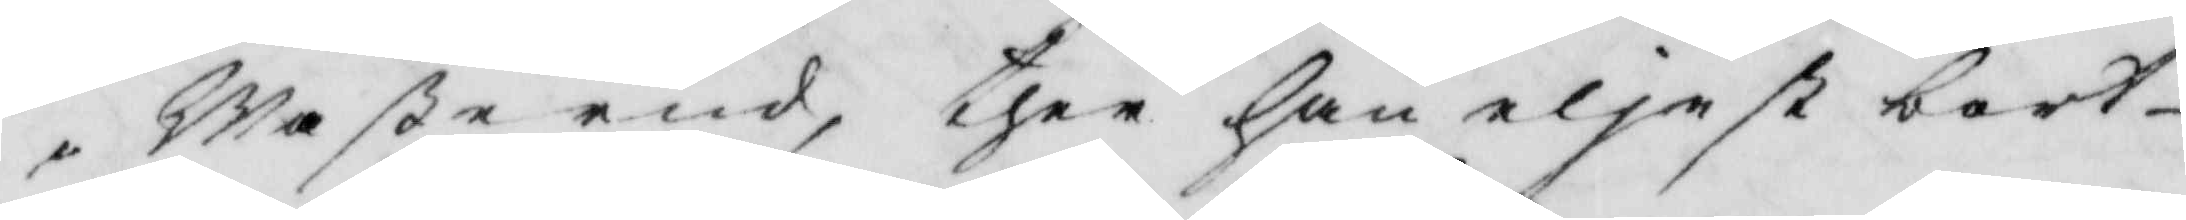i Waßerud, ther han eljest bort
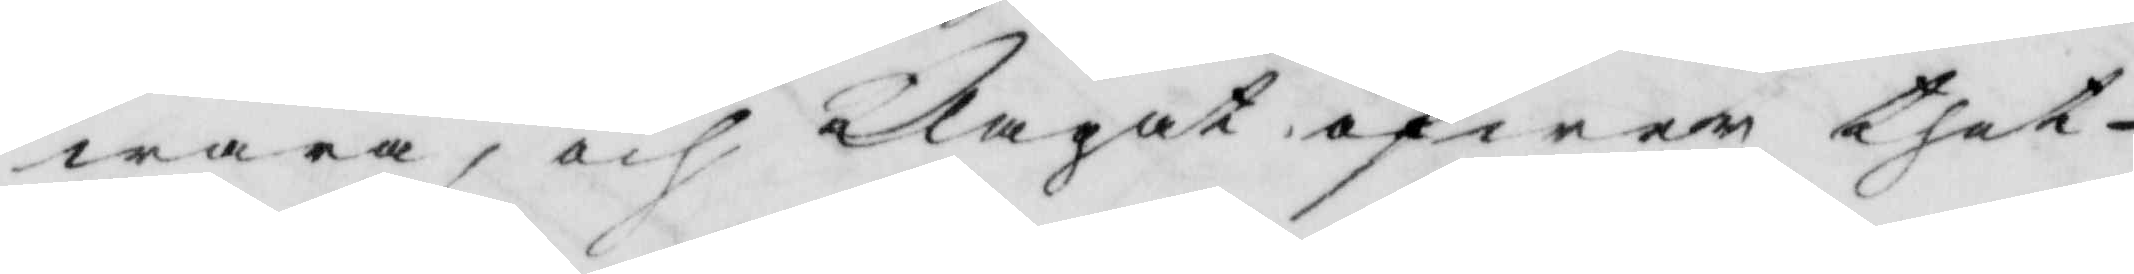wara, och Klagat öfwer thet
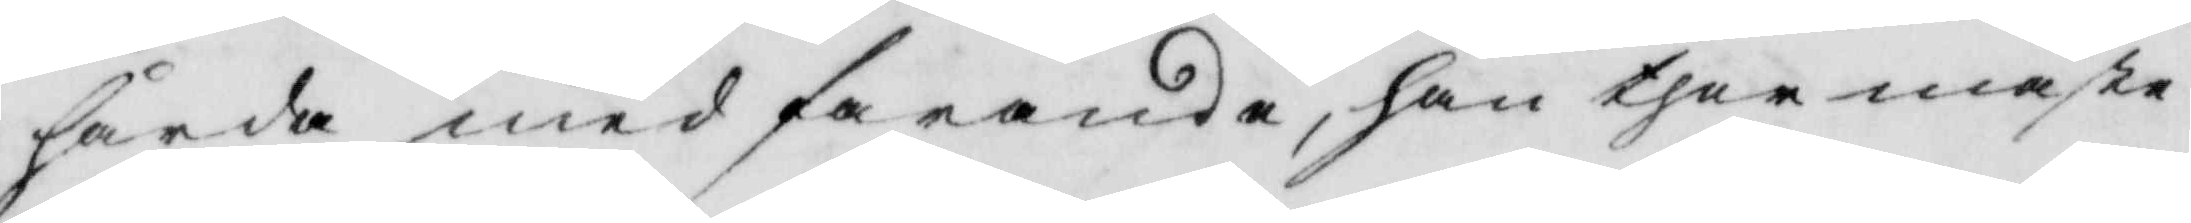hårda medfarande, han ther måste
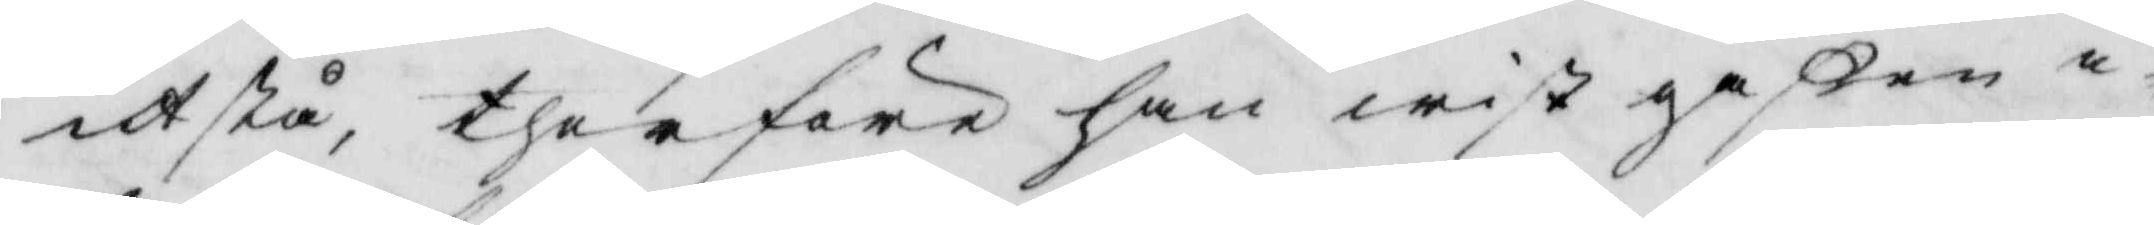utstå, therföre han wist gåßen i
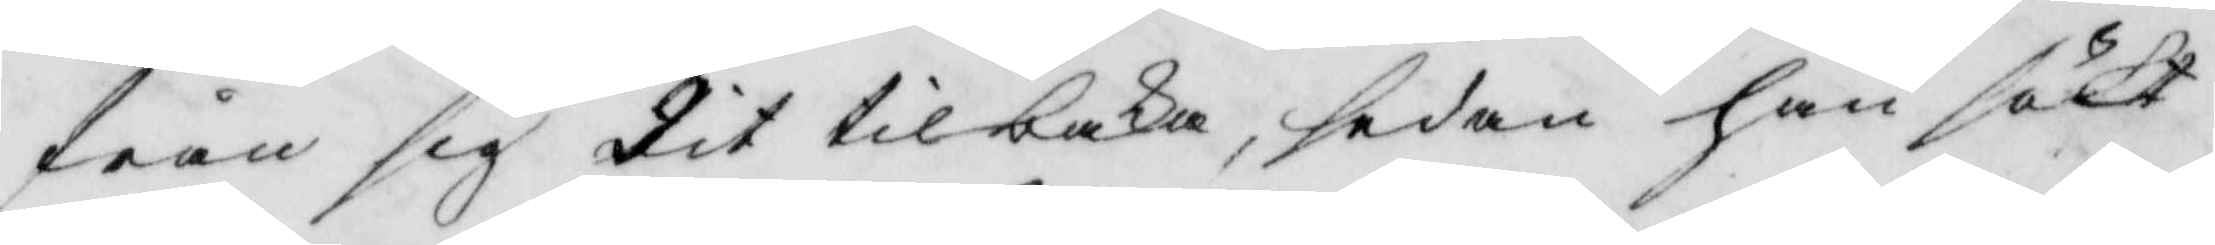från sig dit tilbaka, sedan han sökt
